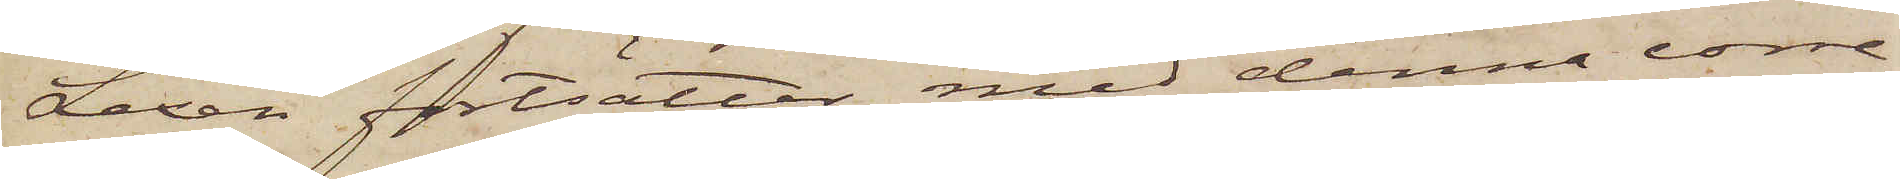Lexén fortsätter med denna corre¬
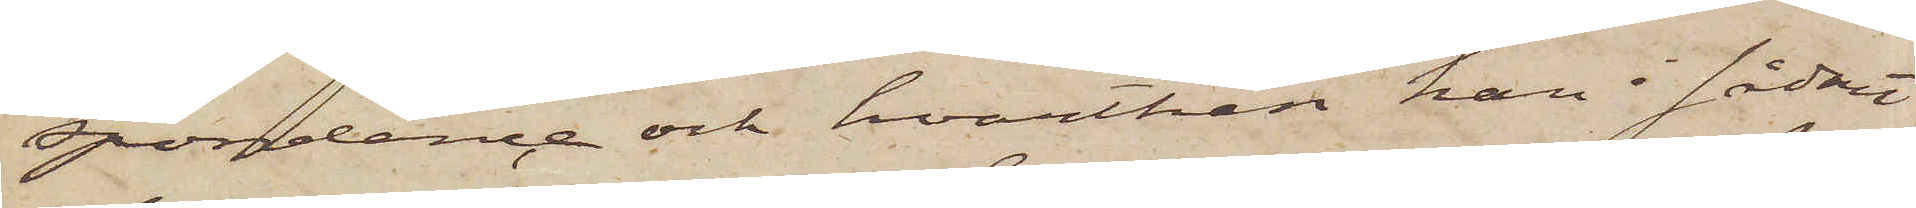spondence och hvarthän han i sådant
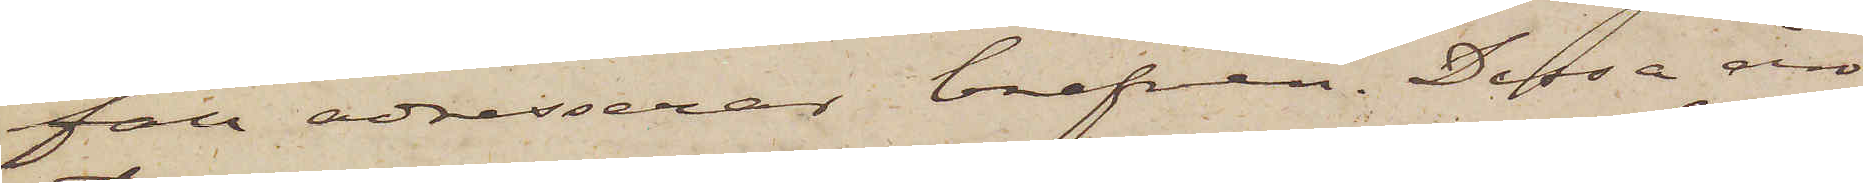fall adresserar brefven. Dessa äro
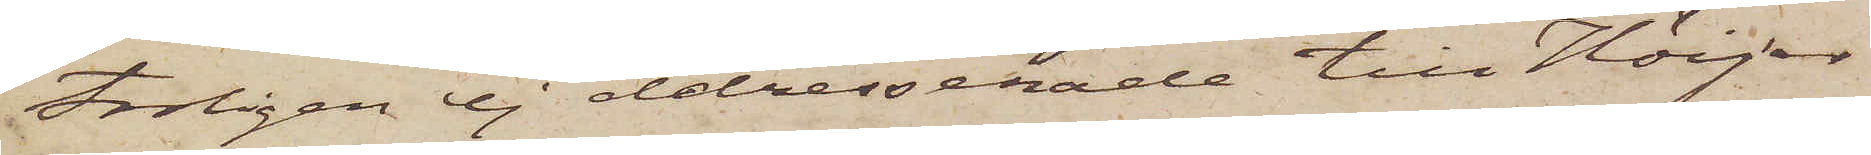troligen ej addresserade till Höijer
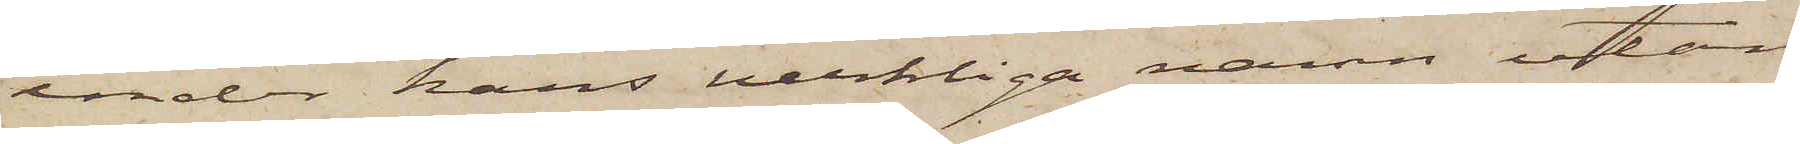under hans verkliga namn utan
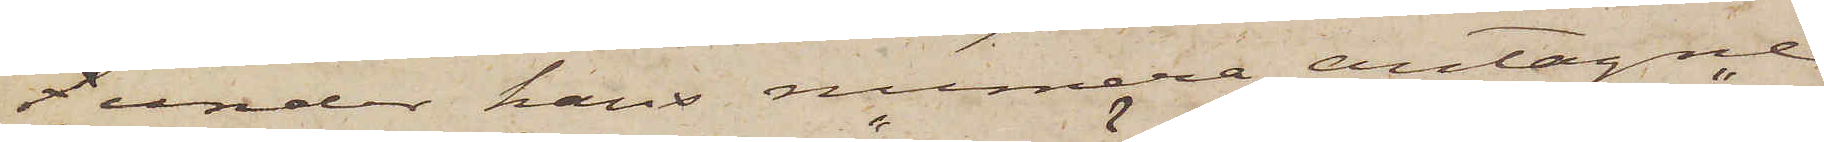f under hans numera antagne
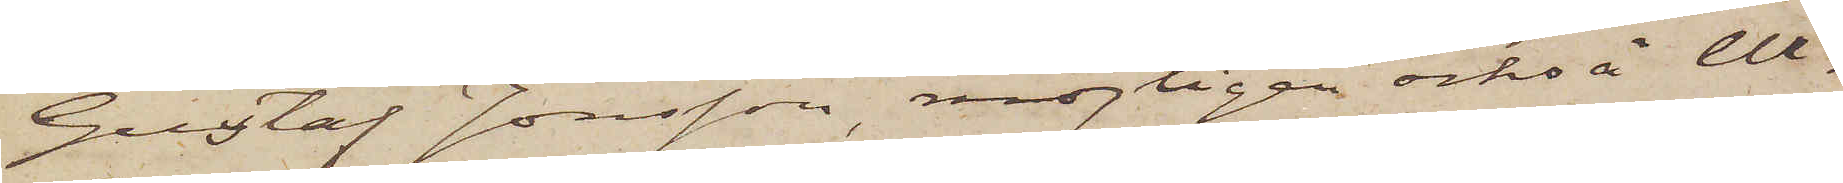"Gustaf Jonsson", möjligen också "Wi¬
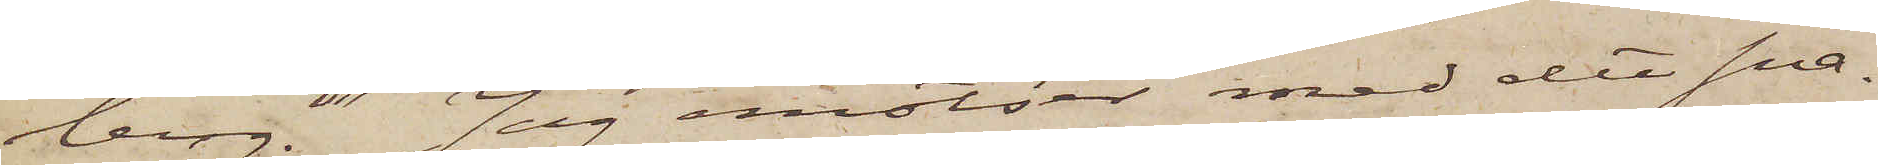berg." Jag emotser med det sna¬
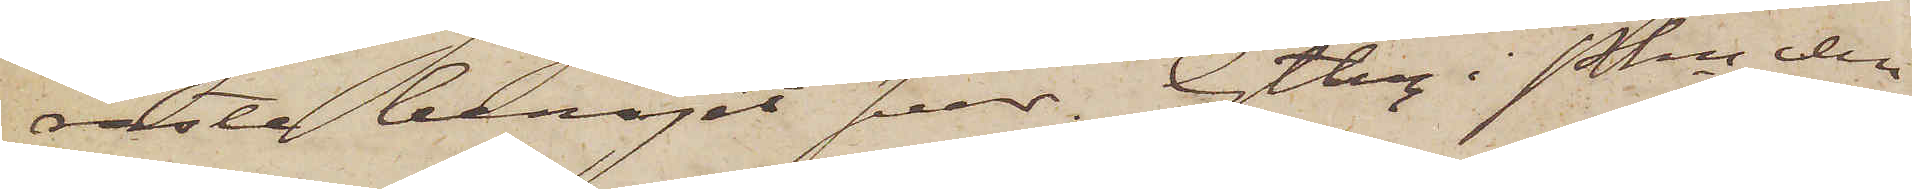raste benäget svar. Gtbrg i Pkn den
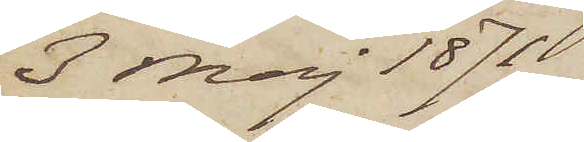3 Maj 1871
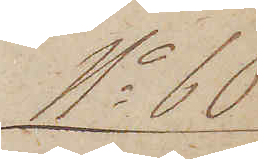No 60
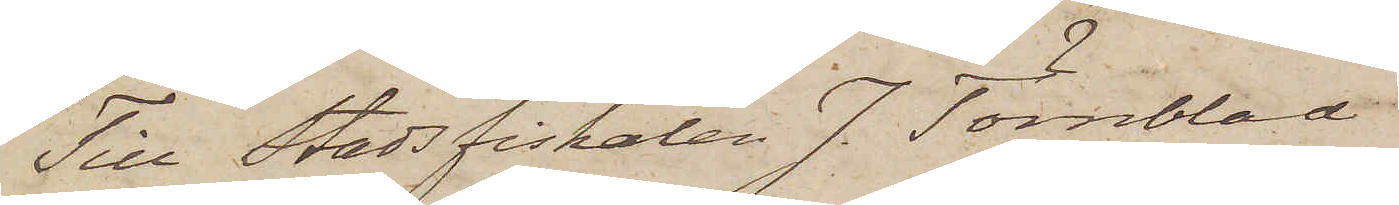Till Stadsfiskalen J. Törnblad
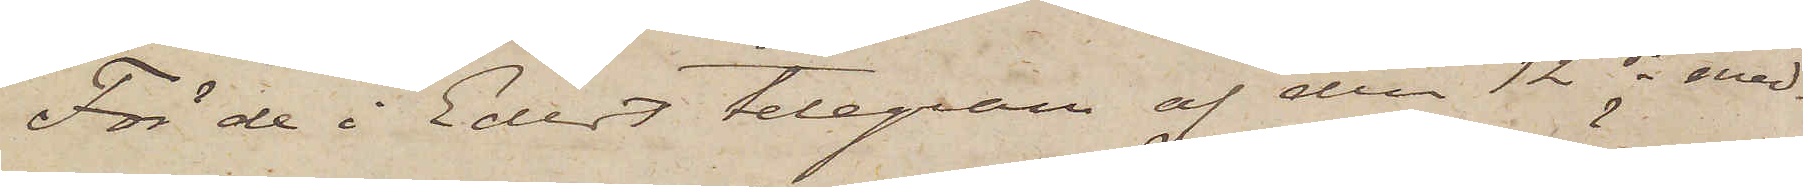För de i Edert telegram af den 12 ds med¬
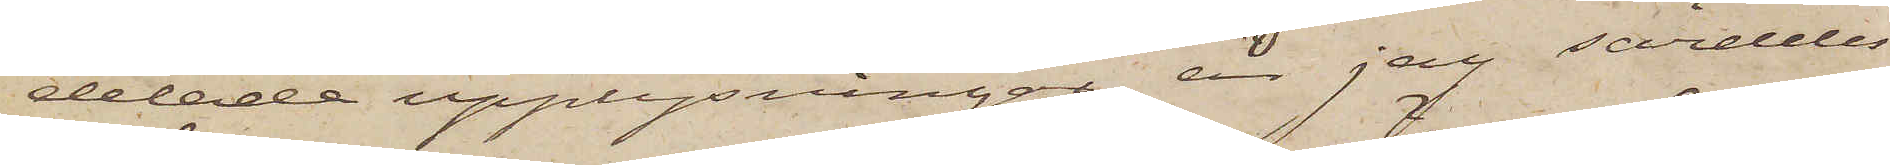delade upplysningar är jag särdeles
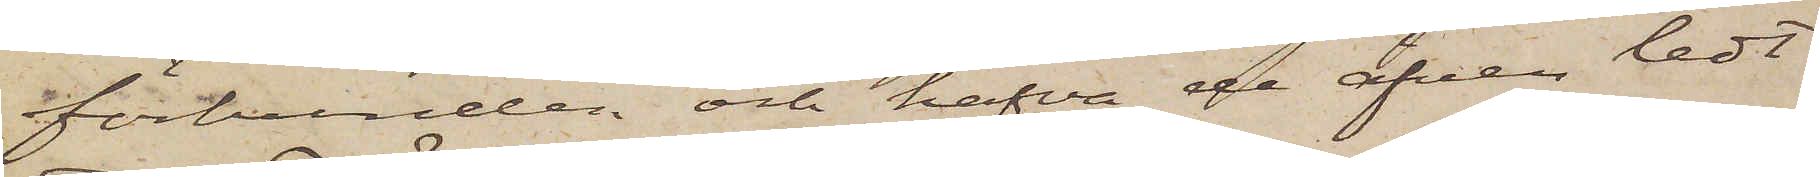förbunden och hafva de äfven ledt
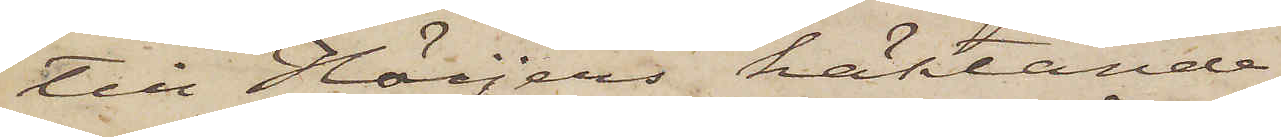till Höijers häktande
